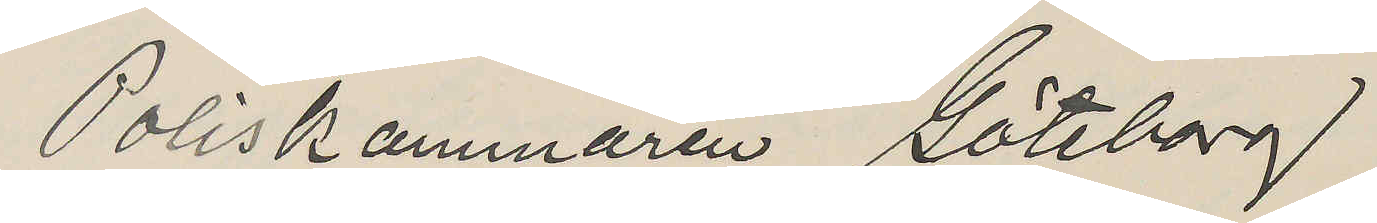Poliskammaren Göteborg
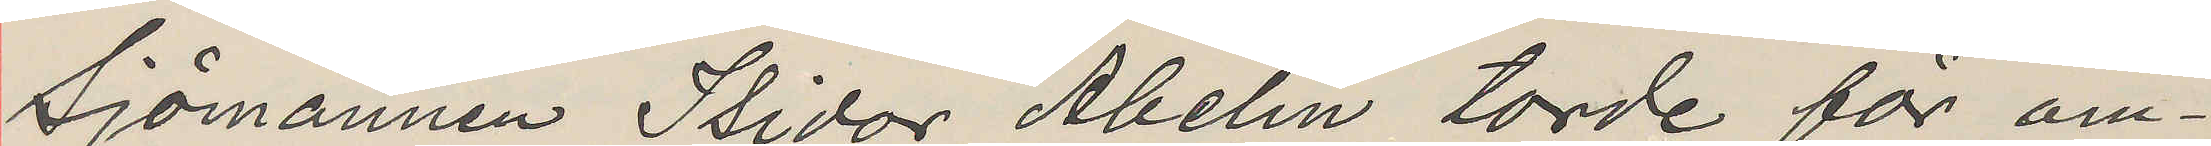Sjömannen Isidor Abelin torde för om¬
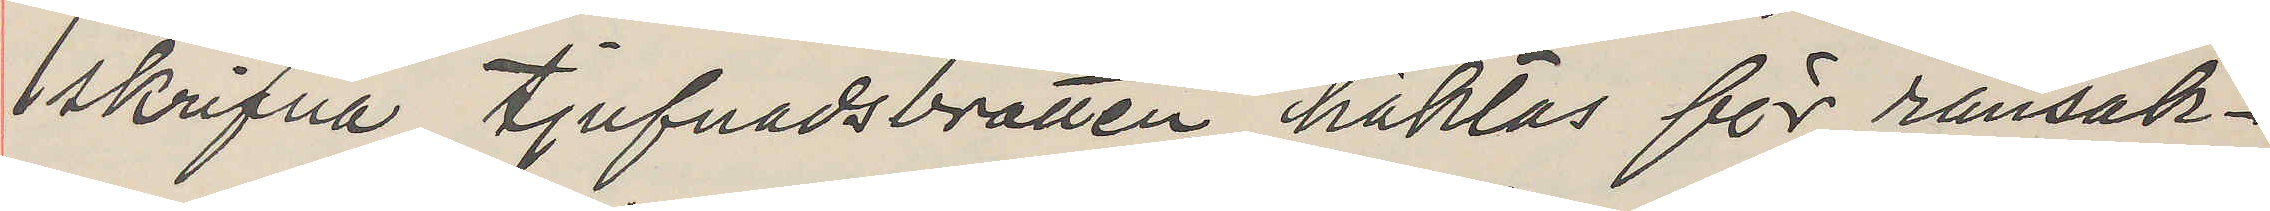skrifna tjufnadsbrotten häktas för ransak¬
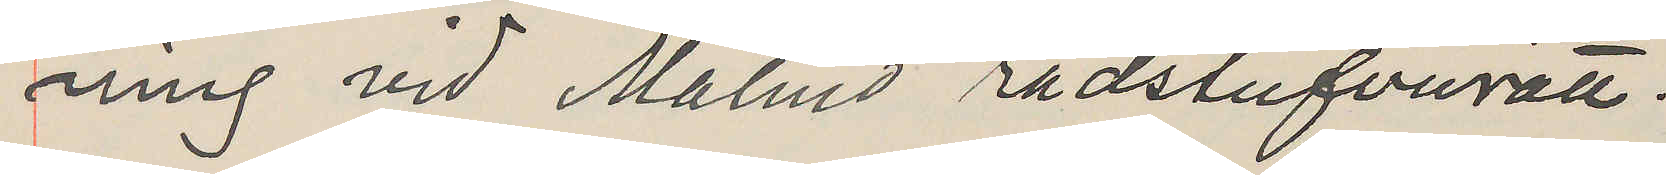ning vid Malmö rådstufvurätt.
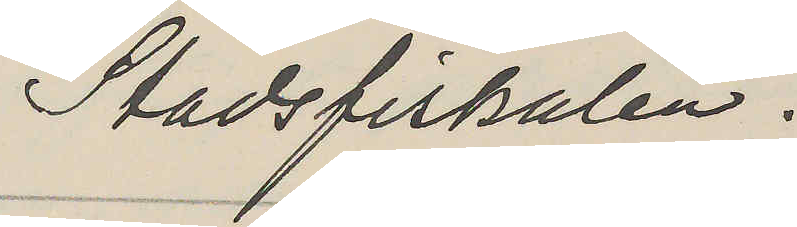Stadsfiskalen.
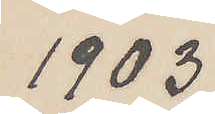1903
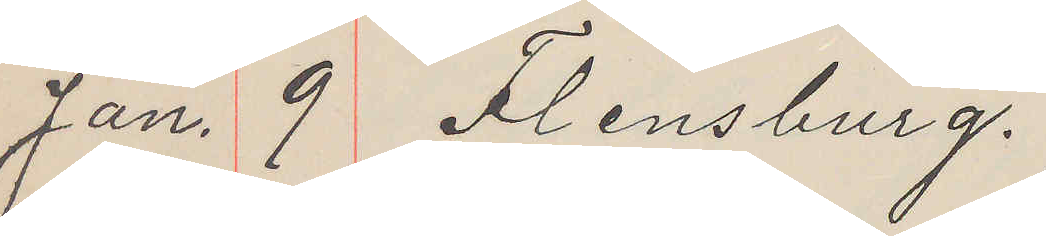Jan. 9 Flensburg.
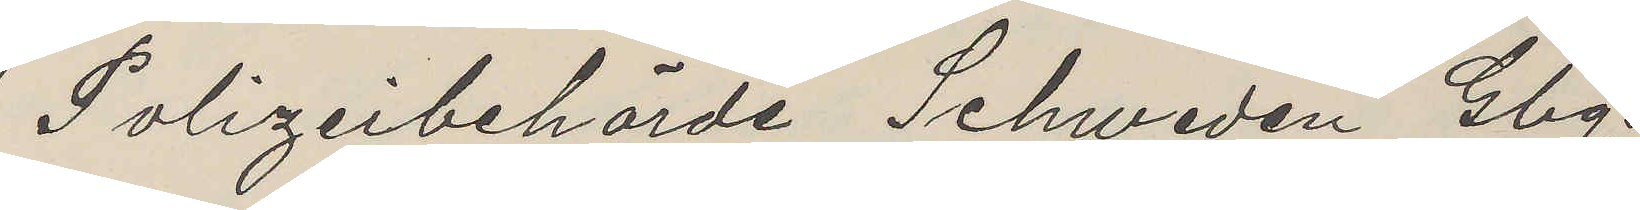Polizeibehörde Schweden Gbg.
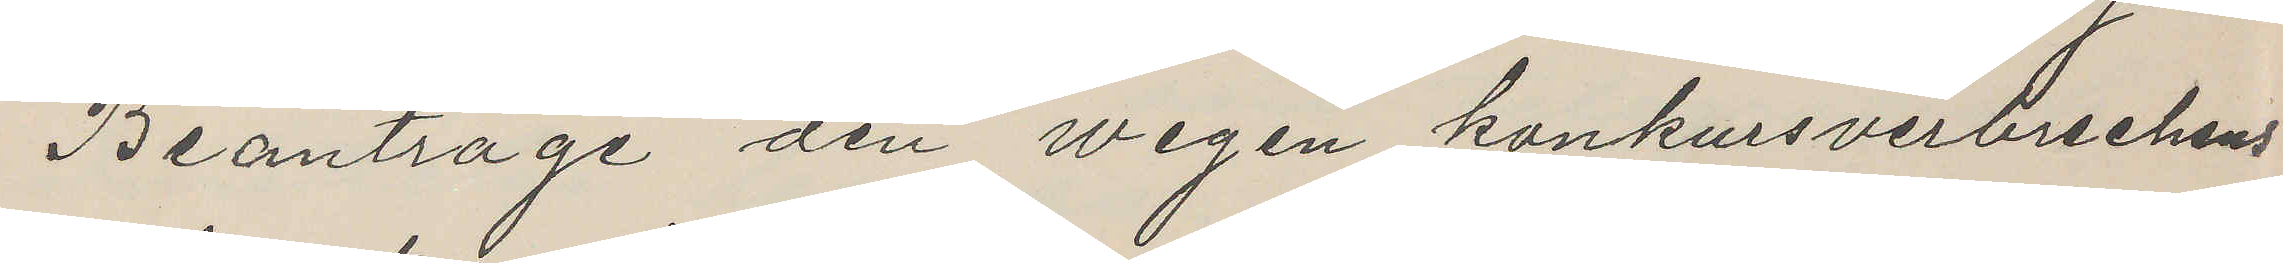Beantrage den wegen konkursverbrechens
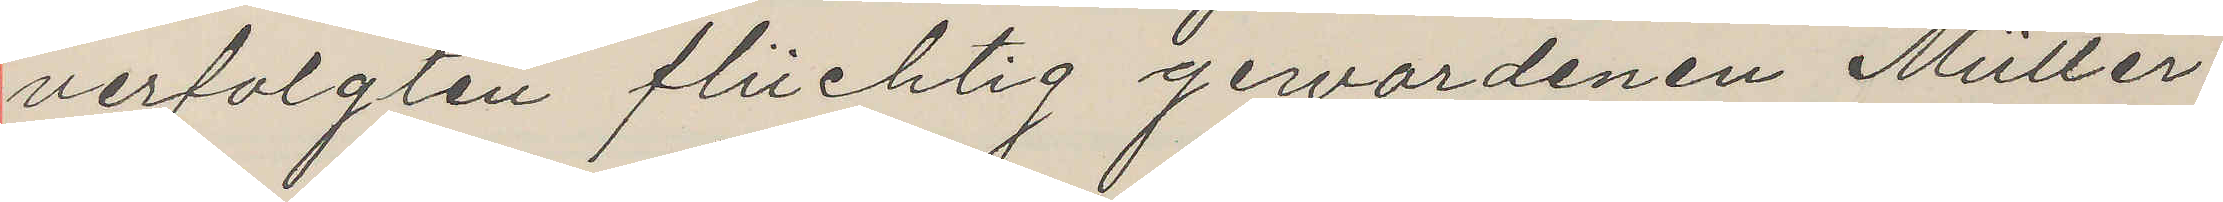verfolgten flüchtig gerwordenen Müller
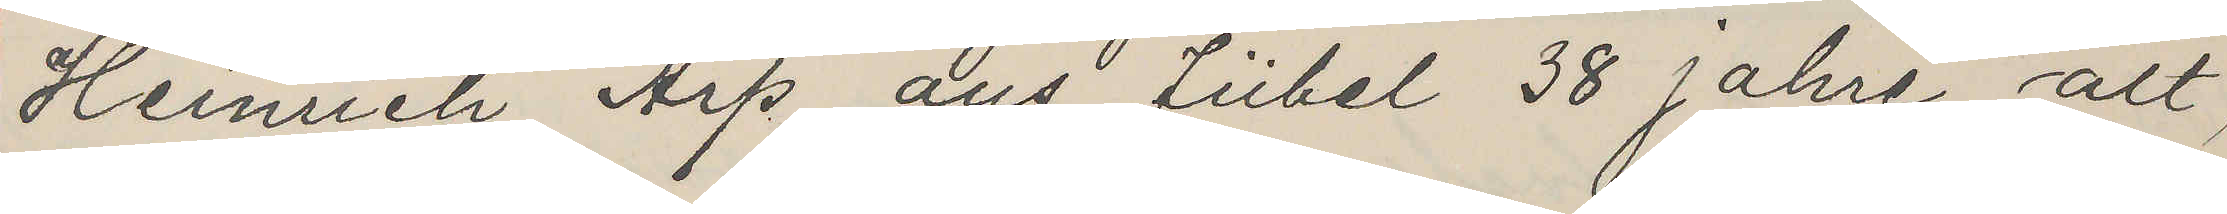Heinrich Arp aus Fübel 38 Jahre alt,
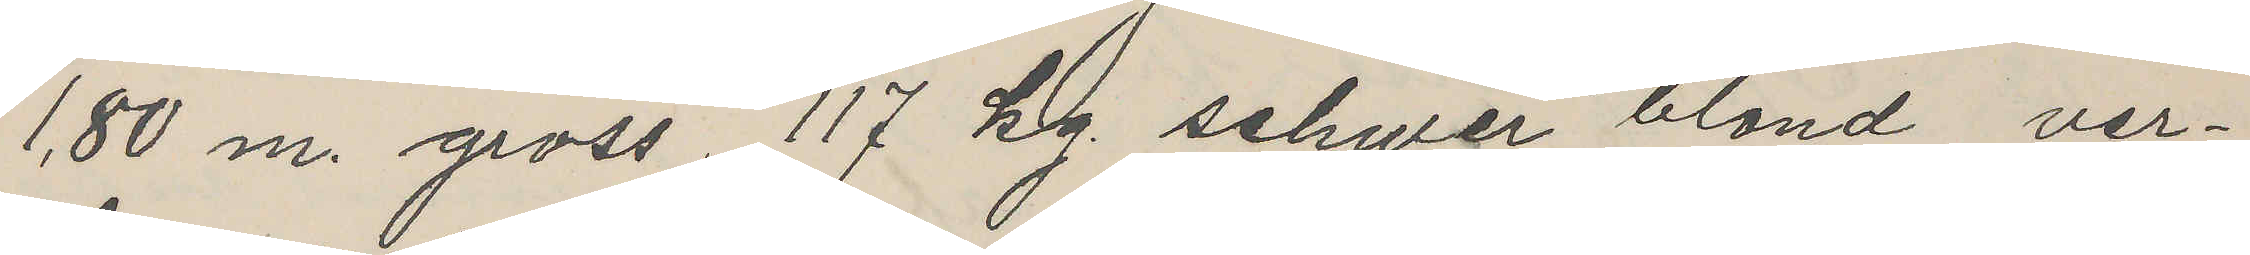1,80 m. gross 117 kg. schwer, blond, ver¬
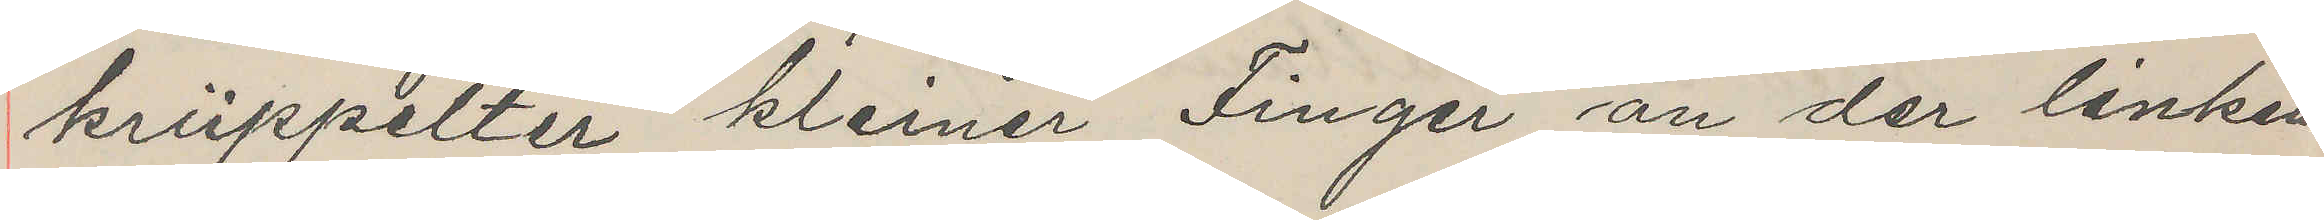krüppelter kleiner Finger an der linken
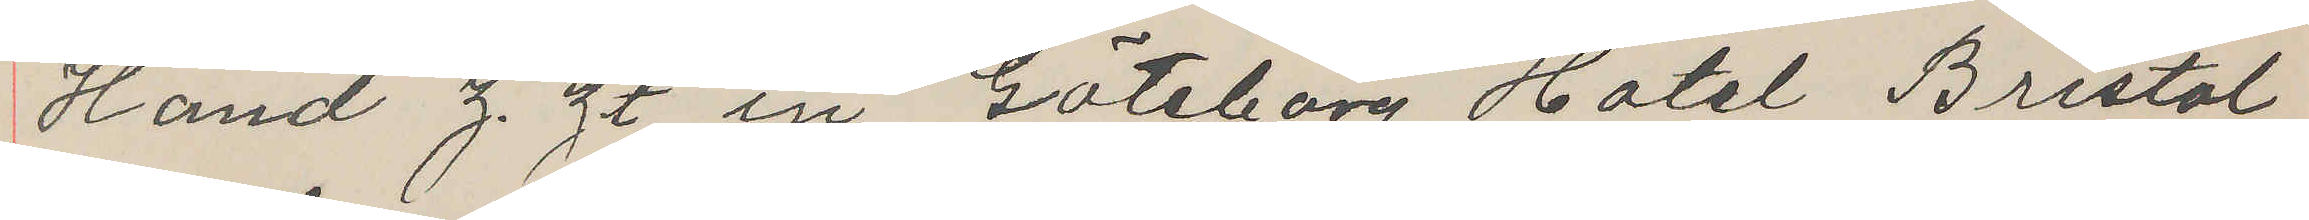Hand z. zt in Göteborg Hotel Bristol
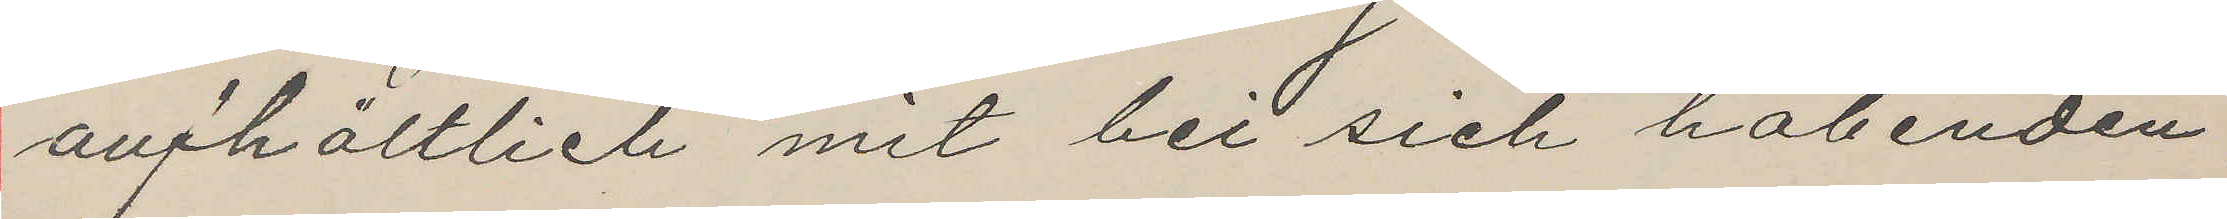anfhältlich mit bit sich habenden
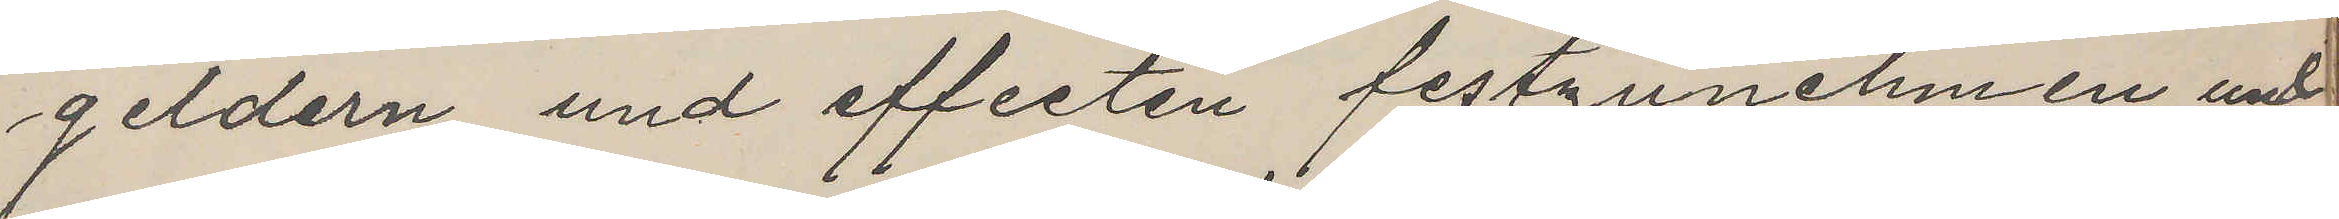geldern und effecten festzunehmen und
